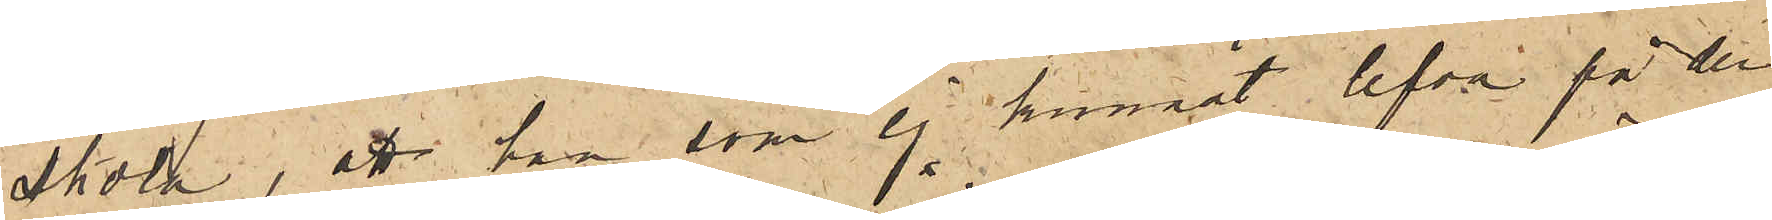 att han, som ej kunnat lefva på den
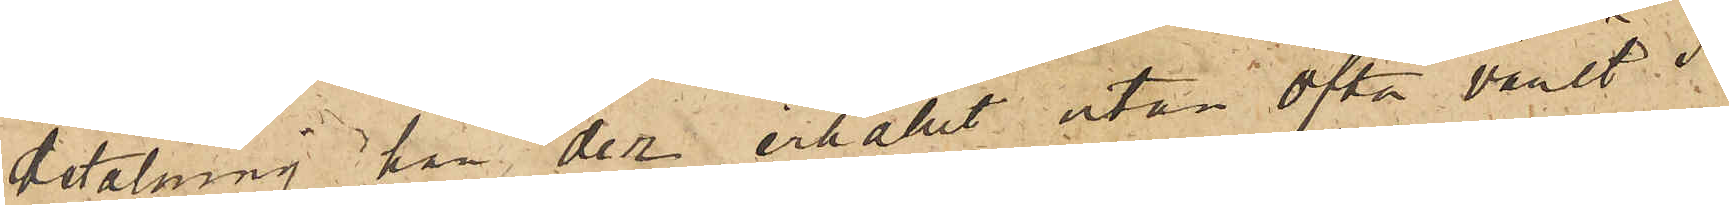betalning han der erhållit utan ofta varit i
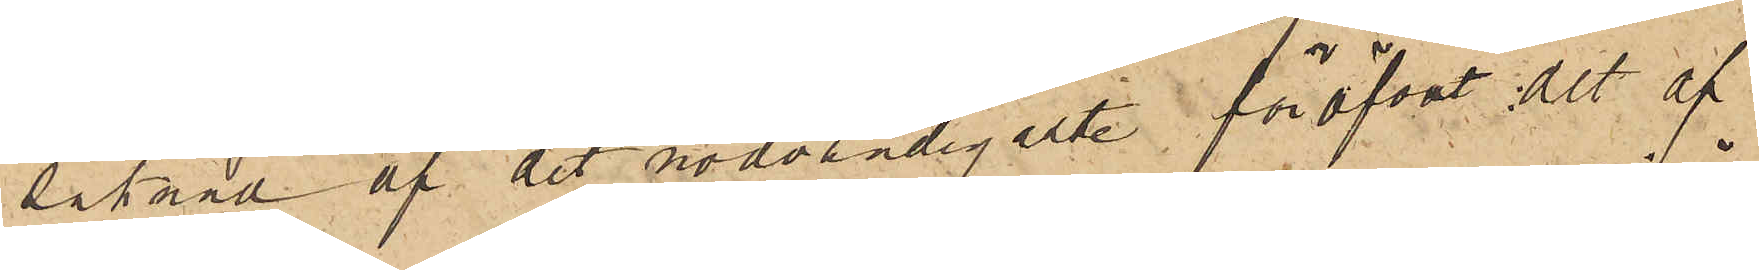saknad af det nödvändigaste föröfvat det af
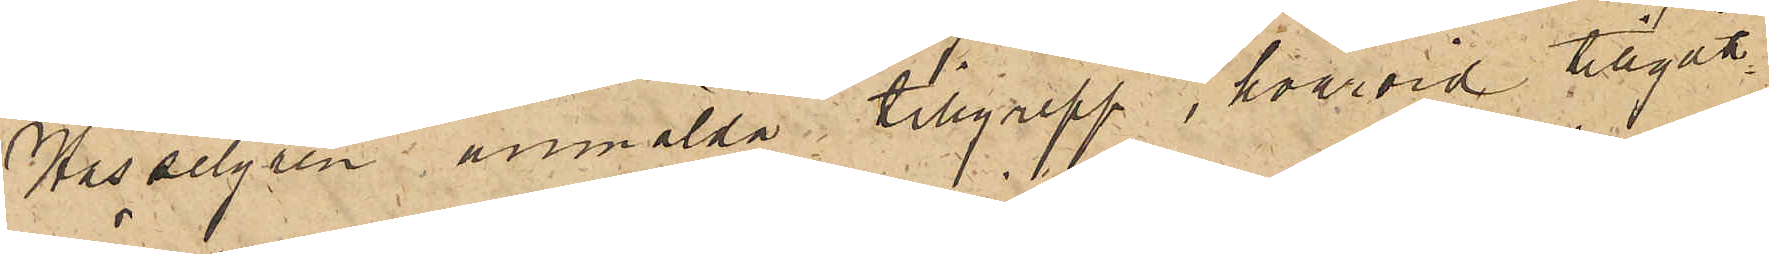Hasselgren anmälda tillgrepp, hvarvid tillgått
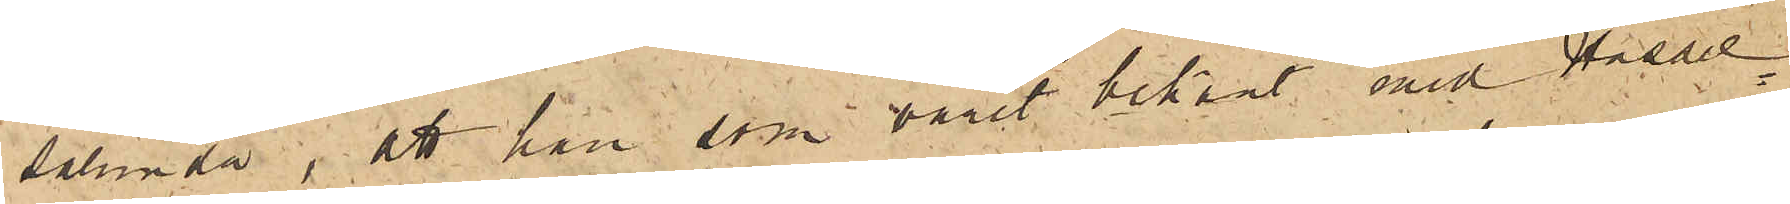sålunda, att han som varit bekant med Hassel¬
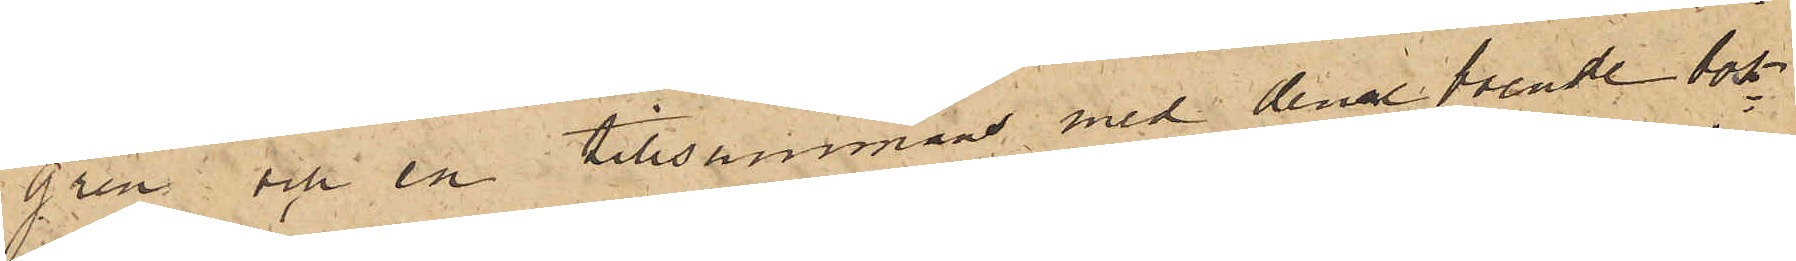gren och en tillsammans med denne boende bok¬
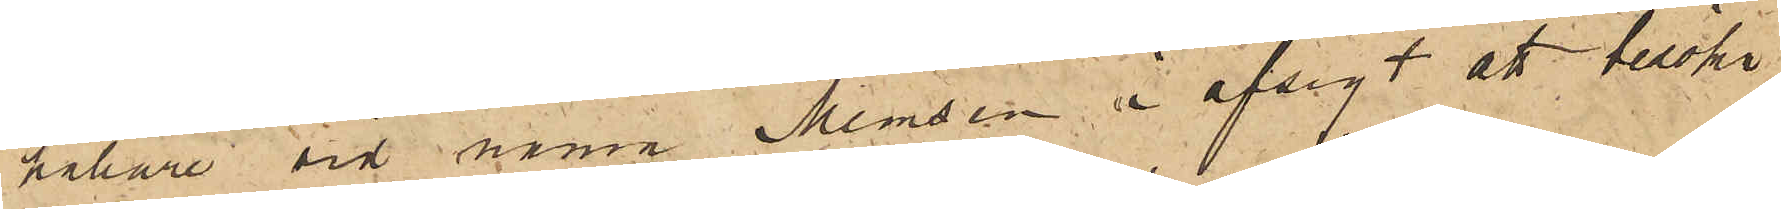hållare vid namn Memsen i afsigt att besöka
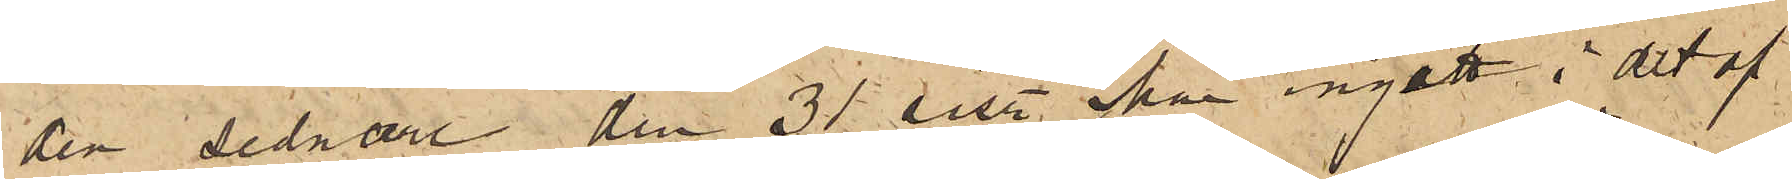den sednare den 31 sist. Mai ingått i det af
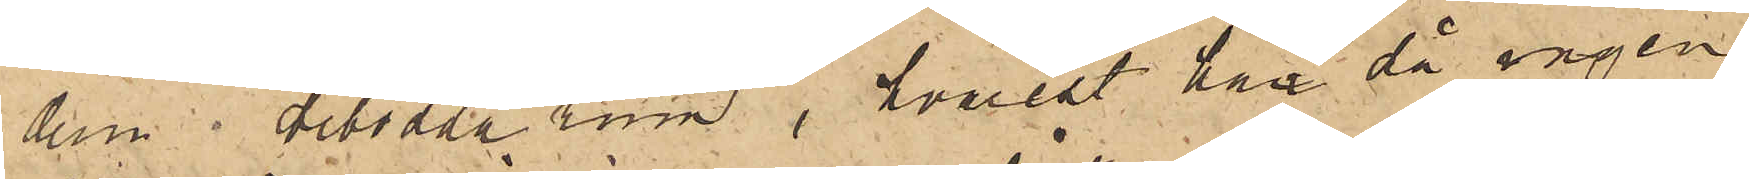dem bebodda rum, hvarest han då ingen
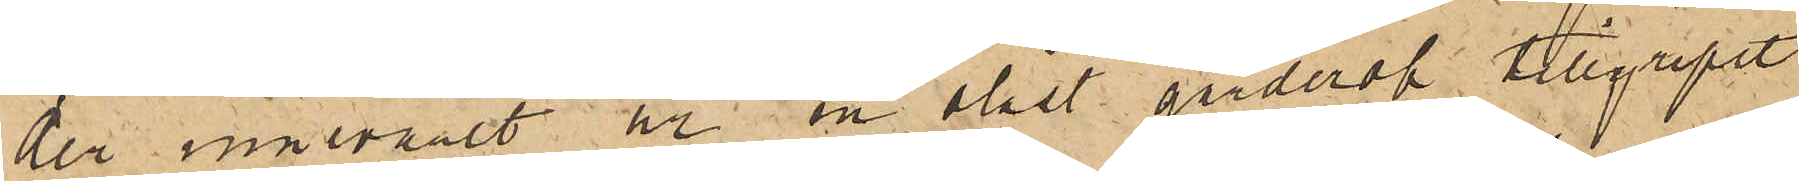der innevarit ur en olåst garderob tillgripit
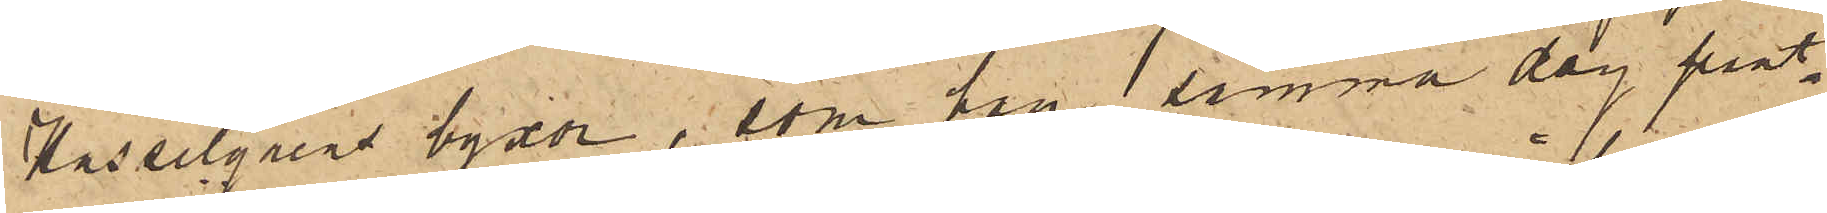Hasselgrens byxor, som han samma dag pant¬
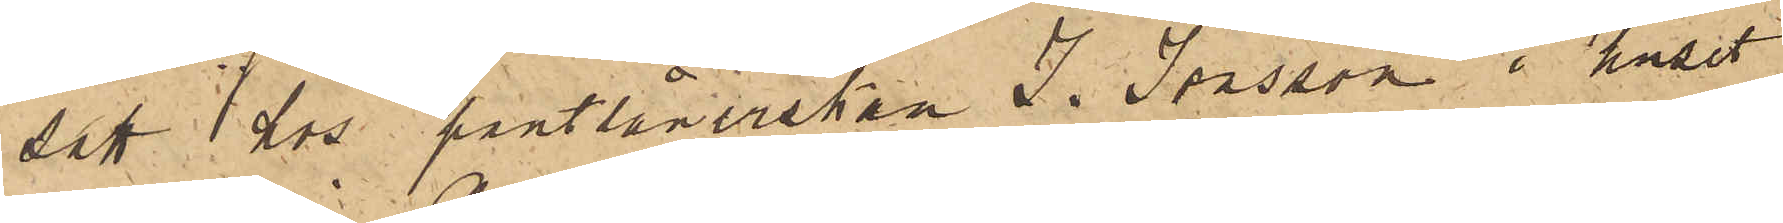satt hos pantlånerskan J. Jonsson i huset
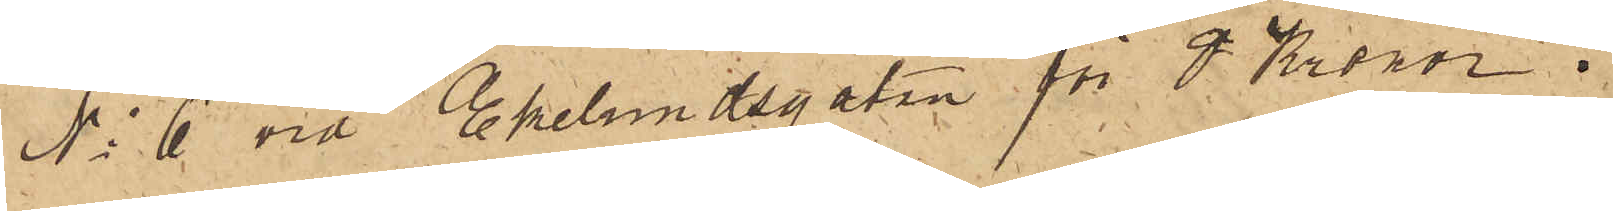No 6 vid Ekelundsgatan för 8 Kronor.
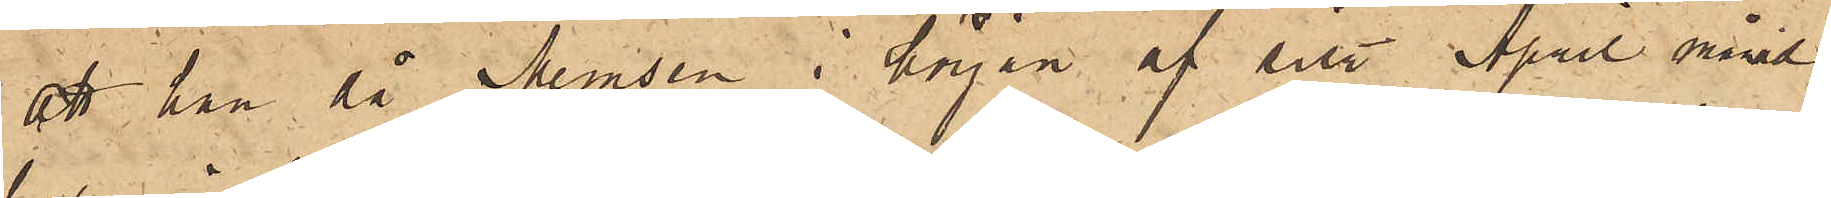att han då Memsen i början af sist. April månad
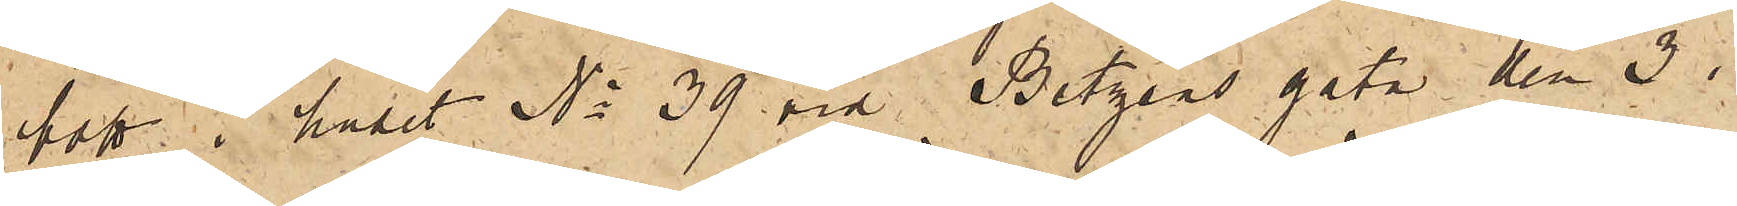bott i huset No 39 vid Betzens gata den 3 i
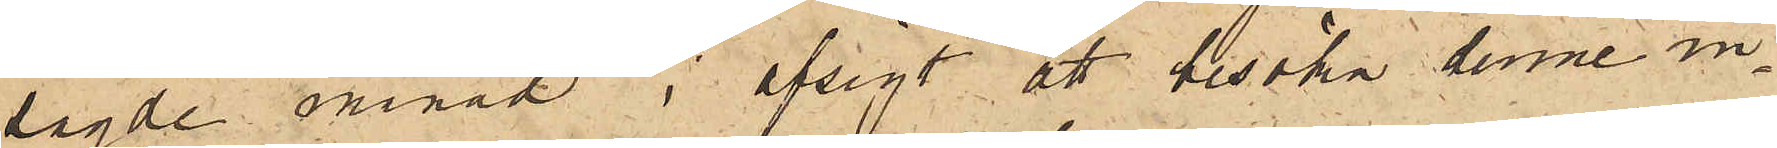sagde månad i afsigt att besöka denne in¬
